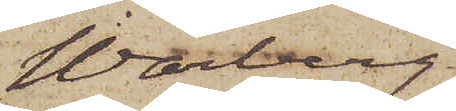Warberg.
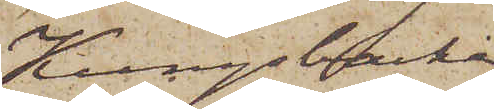Kungsbacka
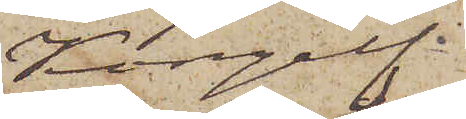Kongelf.
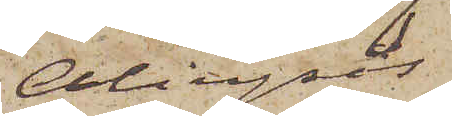Alingsås
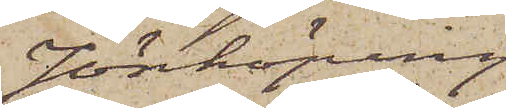Jönköping
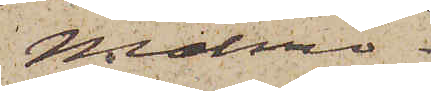Malmö.
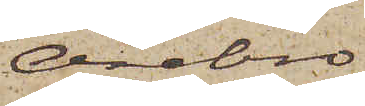Örebro.
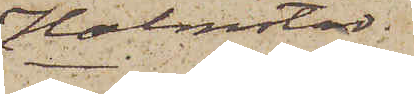Halmstad.
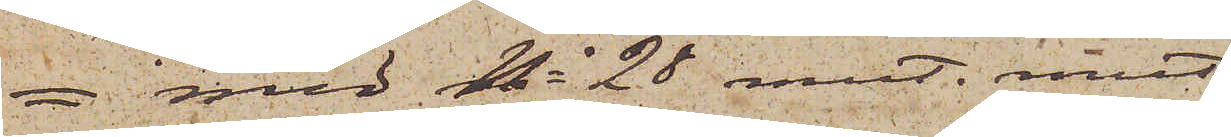= med No 28 mut. mut
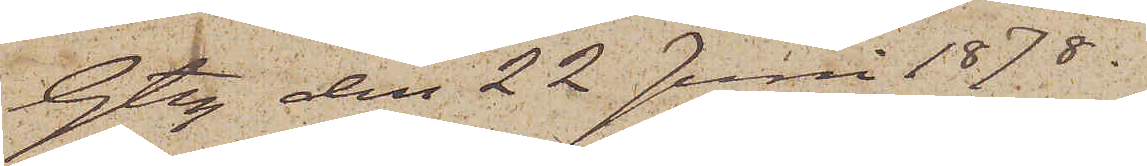Gtbg den 22 Juni 1878.
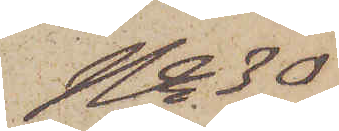No 30
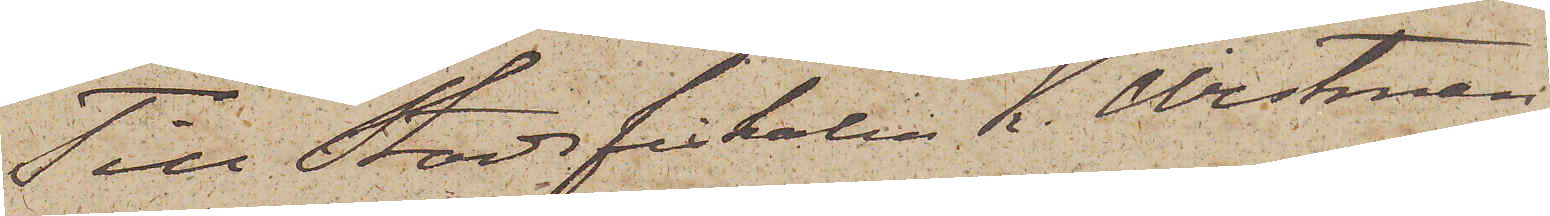Till Stadsfiskalen K. Westman
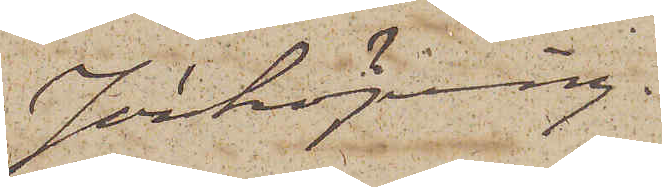Jönköping.
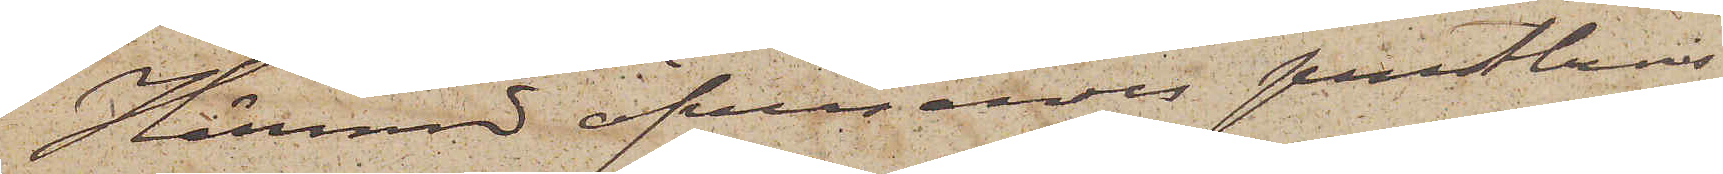Härmed öfversändts prestbevis
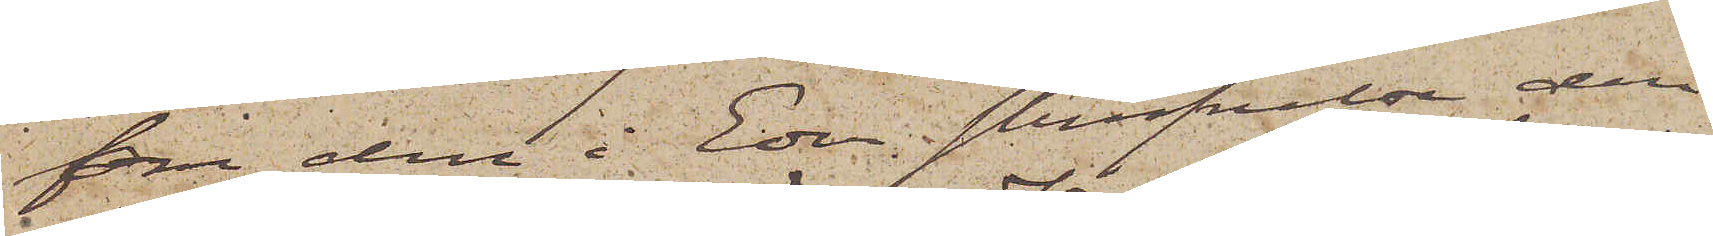för den i Eder skrifvelse den
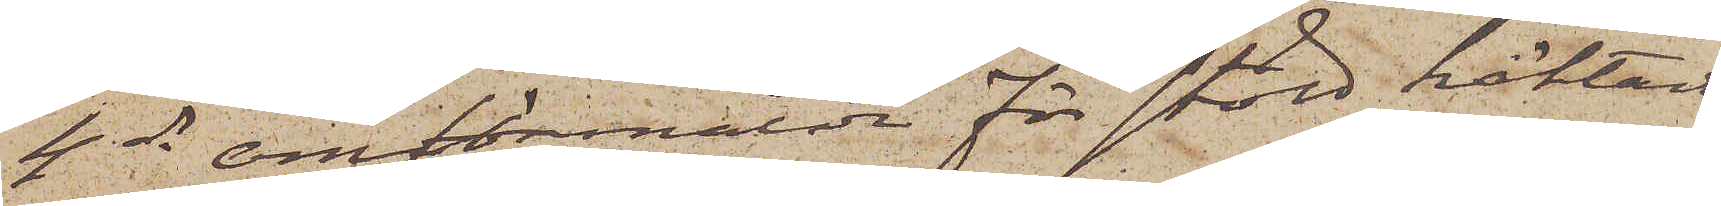4 ds omförmälda för stöld häktande
